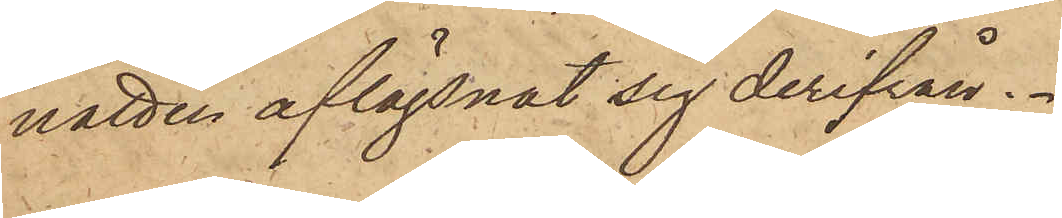natten aflägsnat sig derifrån.
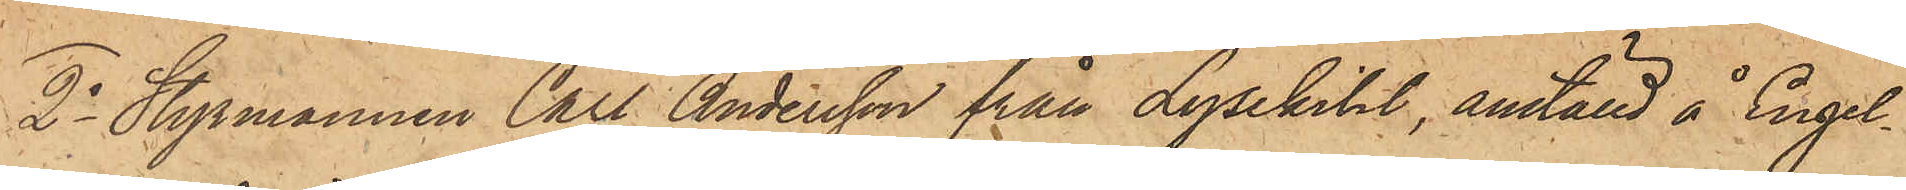2o Styrmannen Carl Andersson från Lysekihl, anställd å Engel¬
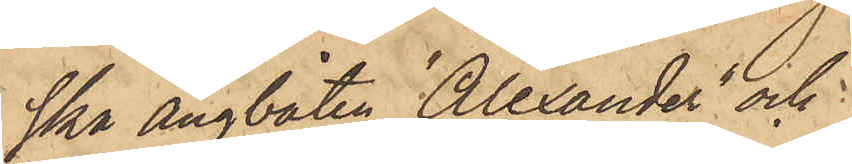ska ångbåten "Alexander" och
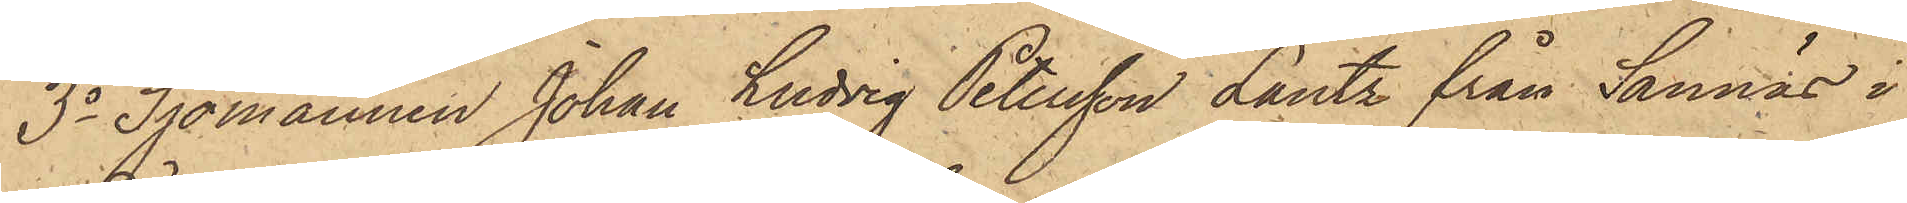3o Sjömannen Johan Ludvig Petersson Lantz från Sannäs i
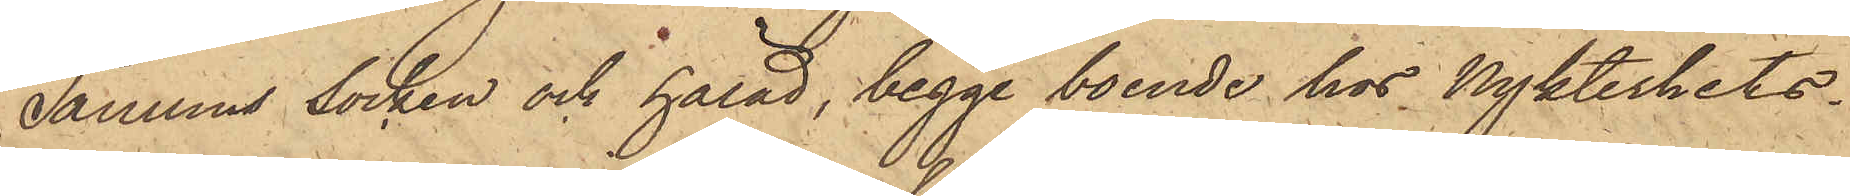Tanums socken och härad, begge boende hos Nykterhets¬
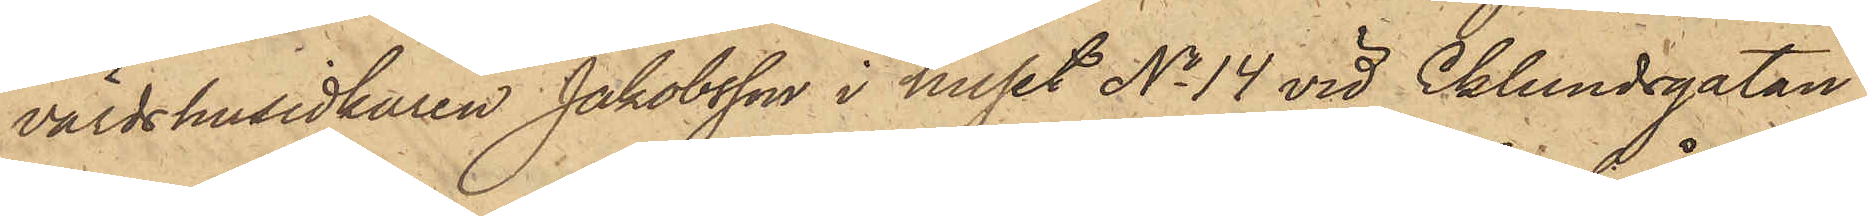värdshusidkaren Jakobsson i huset No 14 vid Eklundsgatan,
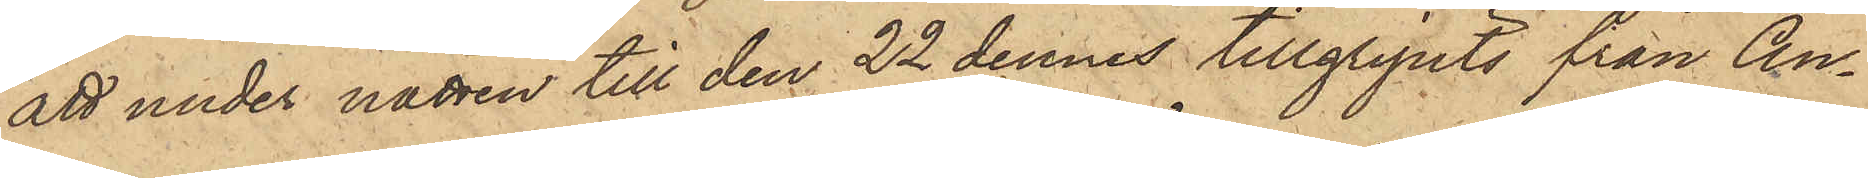att under natten till den 22 dennes tillgripits från An¬
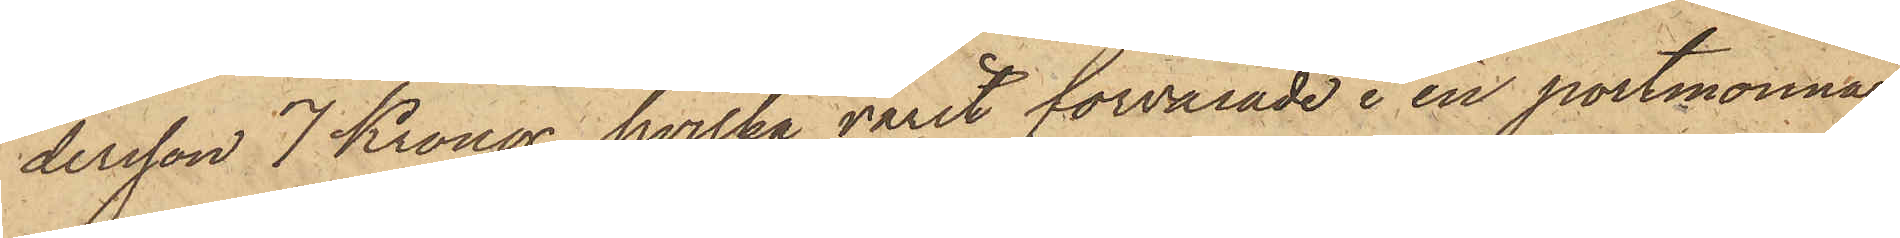dersson 7 Kronor, hvilka varit förvarade i en portmonnaie
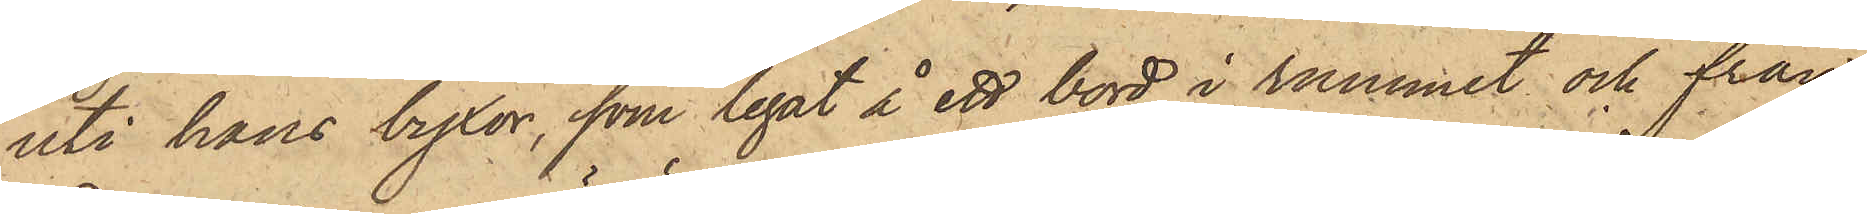uti hans byxor, som legat å ett bord i rummet och från
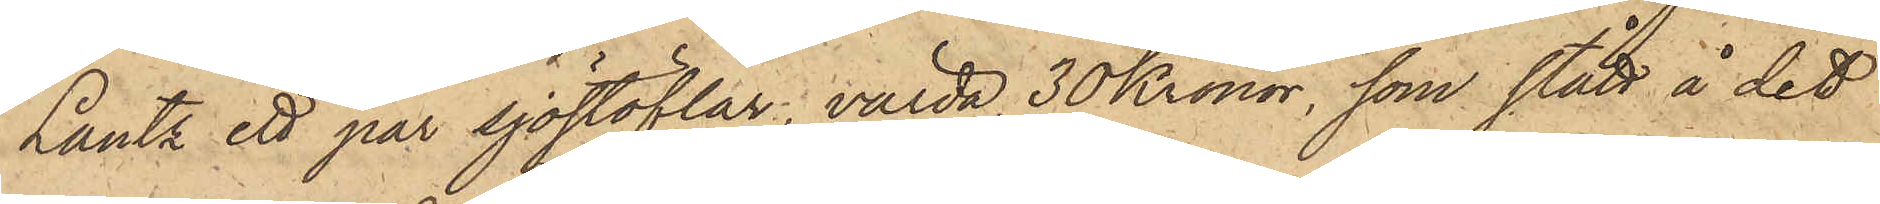Lantz ett par sjöstöflar, värda 30 Kronor, som stått å det
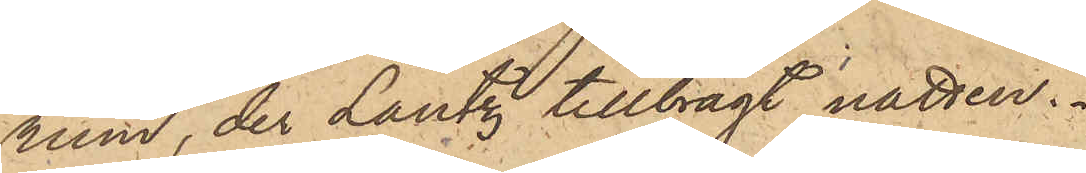rum, der Lantz tillbragt natten.
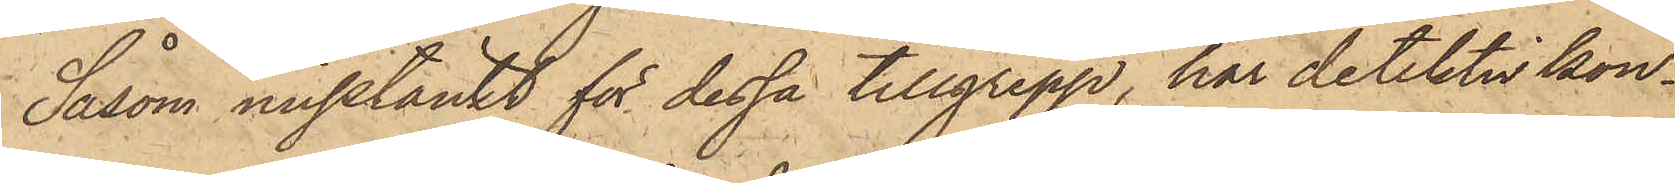Såsom misstänkt för dessa tillgrepp, har detektivkon¬
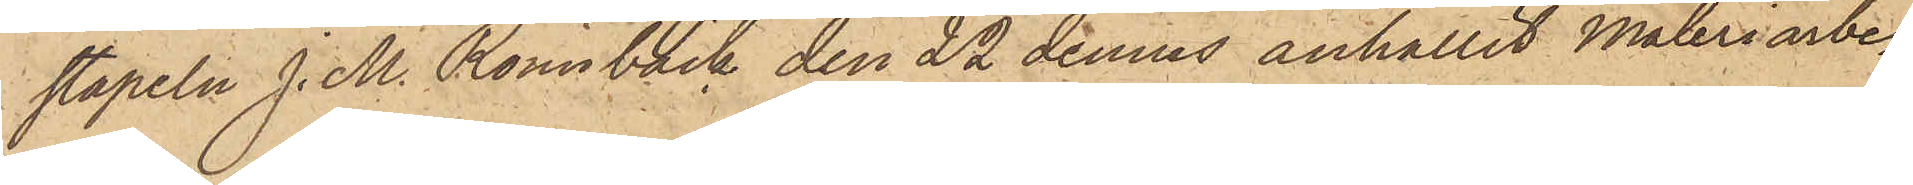stapeln J. M. Rönnbäck den 22 dennes anhållit Måleriarbe¬
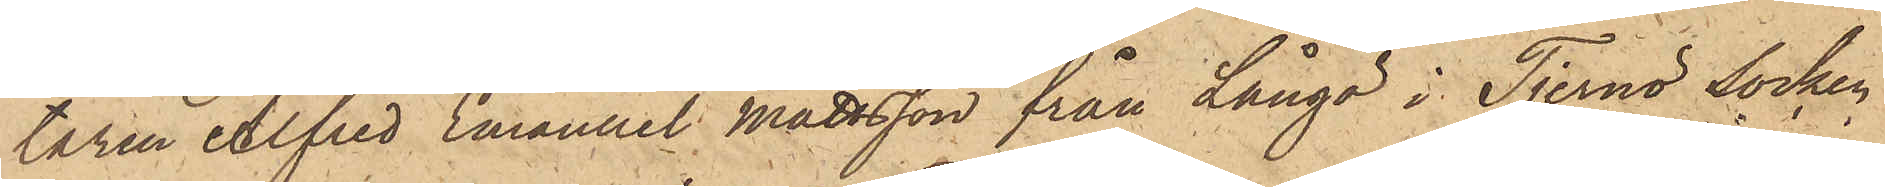taren Alfred Emanuel Mattsson från Långö i Tjernö Socken
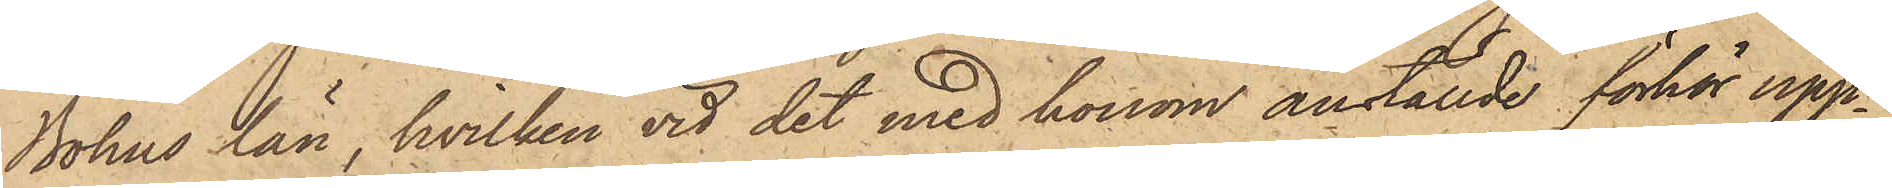Bohus län, hvilken vid det med honom anställde förhör upp¬
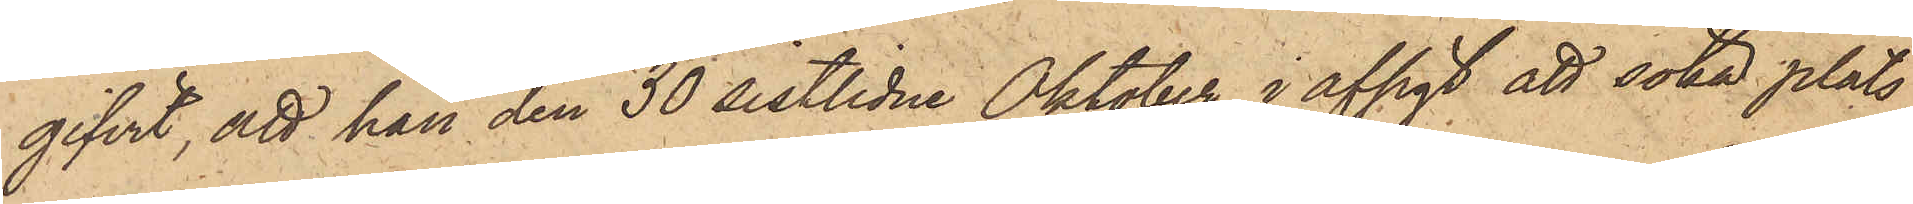gifvit, att han den 30 sistlidne Oktober i afsigt att söka plats
